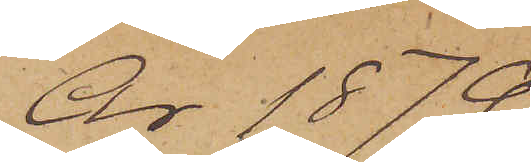År 1879
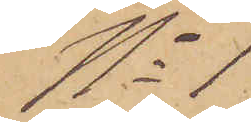No 1
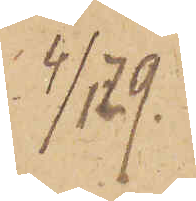4/1 79.
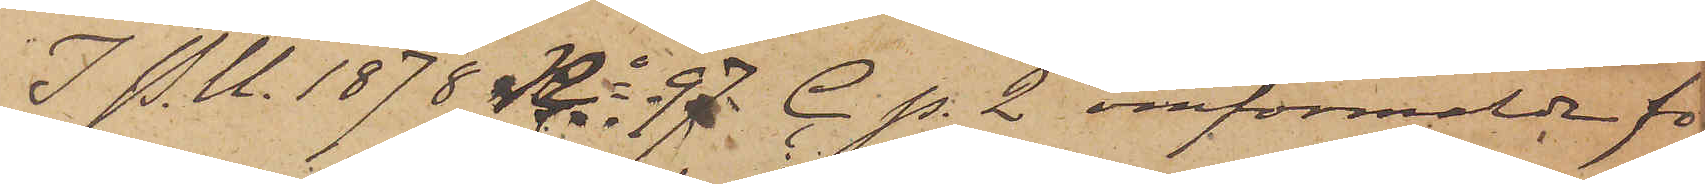I P. U. 1878 No 97 C. p. 2 omförmälde för
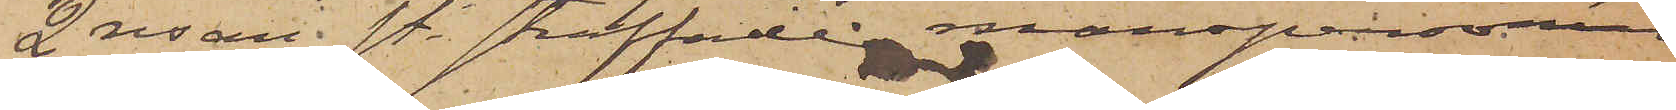2 resan st. straffade manspersonen
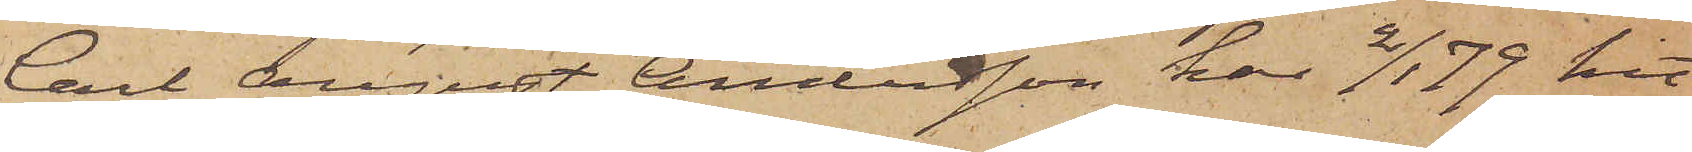Carl August Andersson har 2/1 79 hit
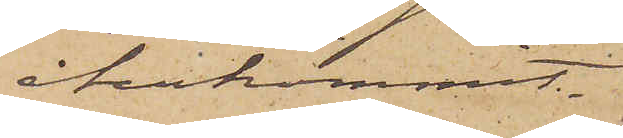återkommit.
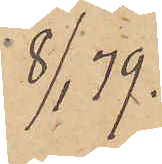8/1 79.
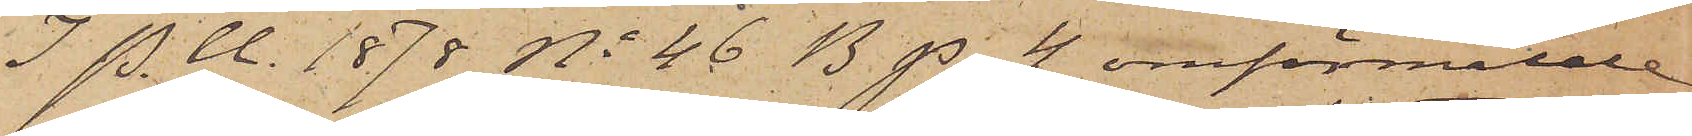I P.U. 1878 No 46 B p. 4 omförmälde
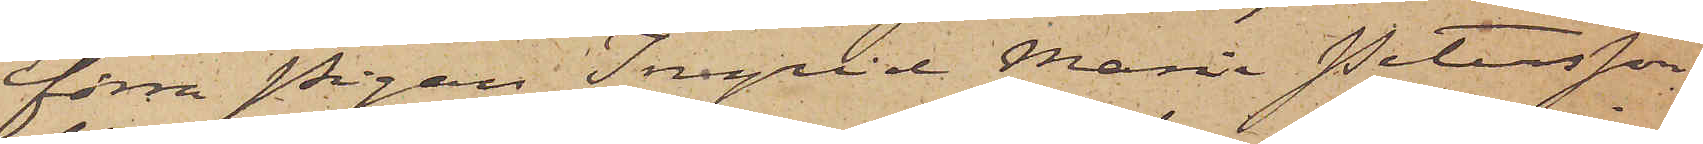förra Pigan Ingrid Maria Petersson
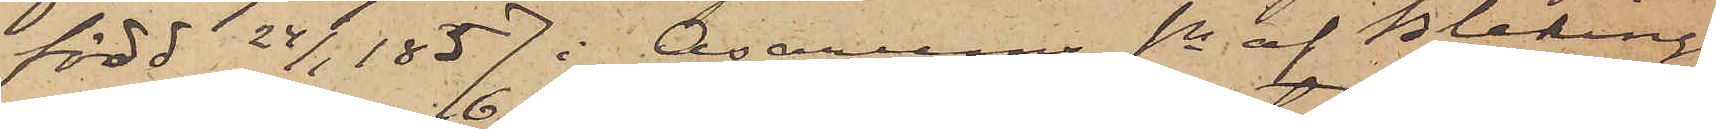född 24/1 1857 i Asarums sn af Blekinge
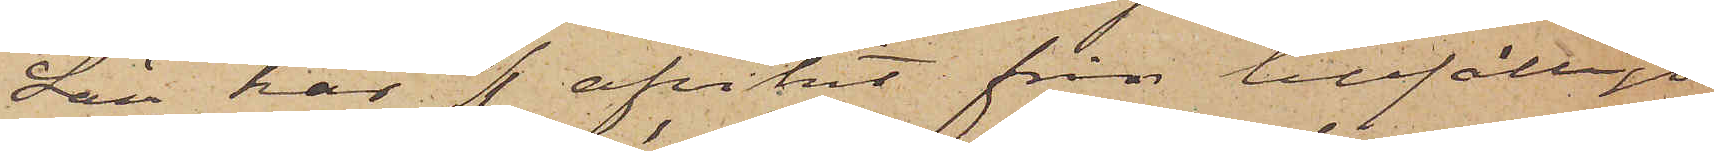Län har 6/1 afvikit från tillfälligt
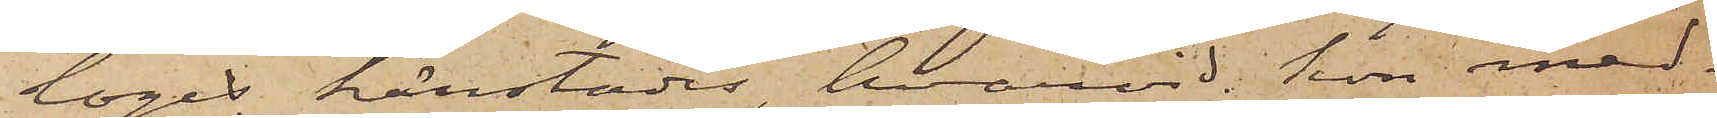logis härstädes, hvarvid hon med¬
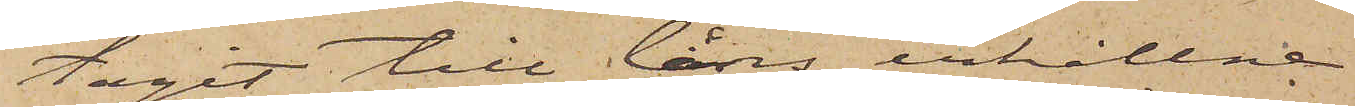tagit till låns erhållne
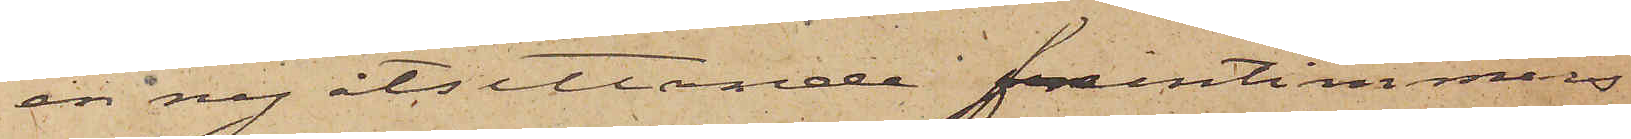en ny åtsittande fruntimmers
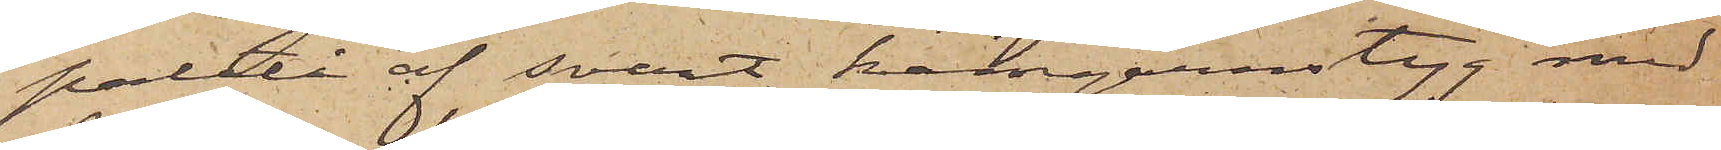paletå af svart kamgarnstyg med
